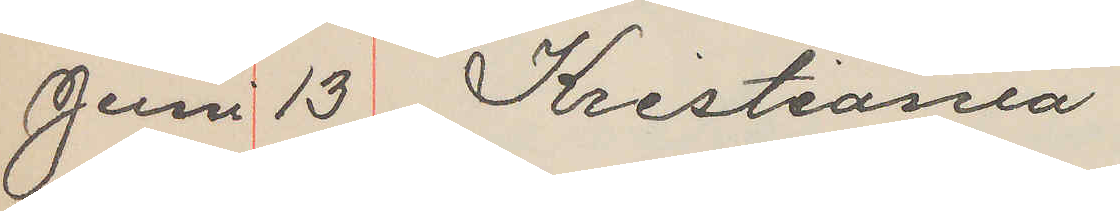Juni 13 Kristiania
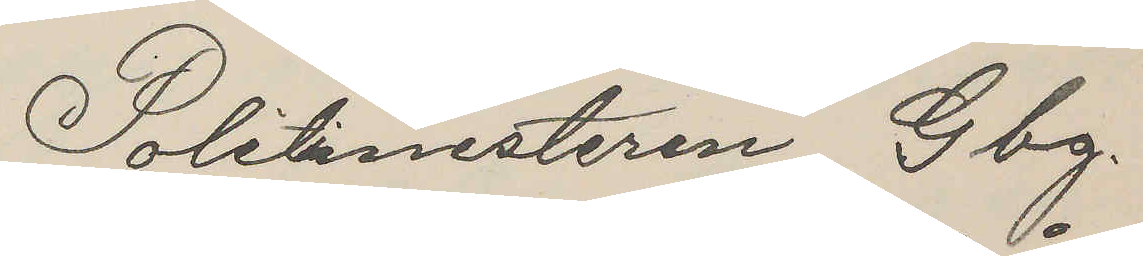Politimesteren Gbg.
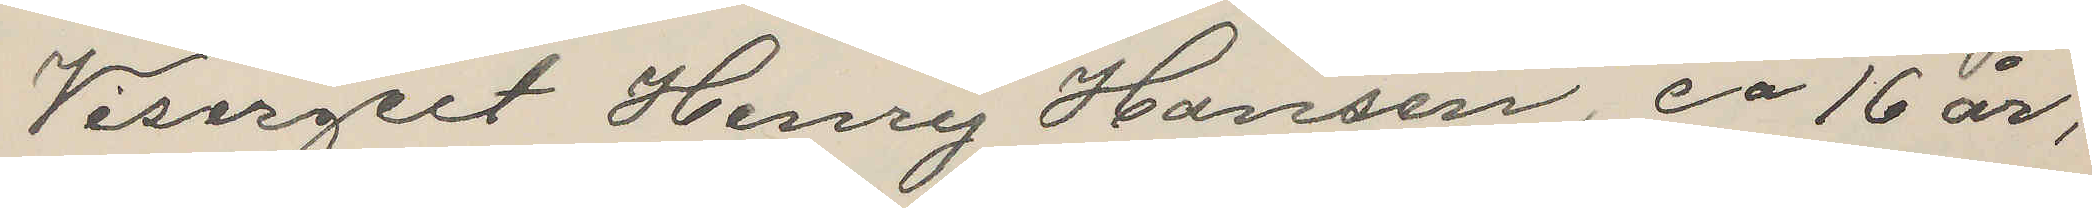Visergert Henry Hansen, ca 16 år,
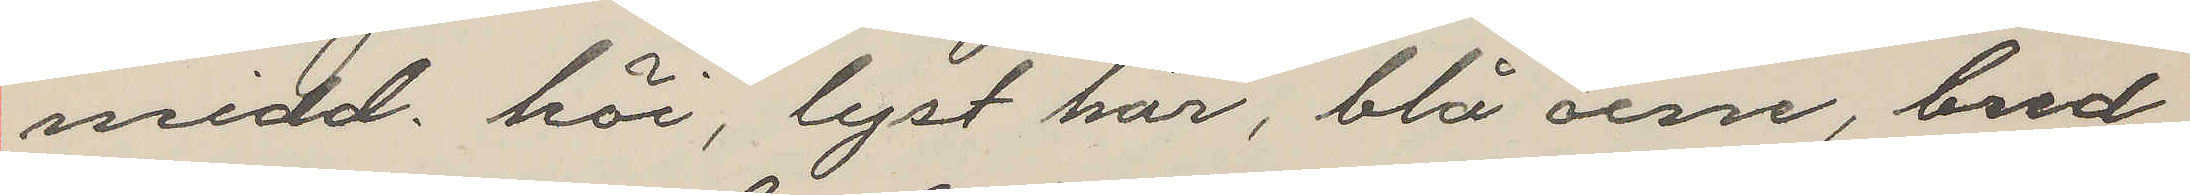midd. höi, lyst hår, blå öine, bred
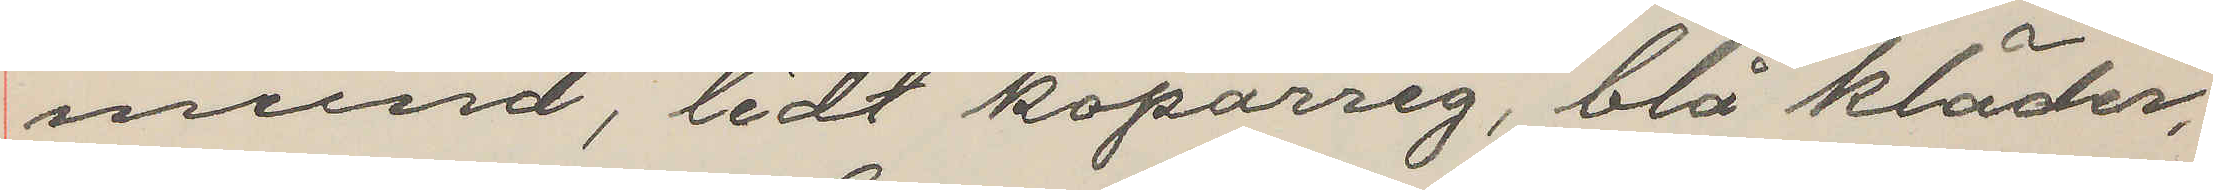mund, lidt koparrig, blå kläder,
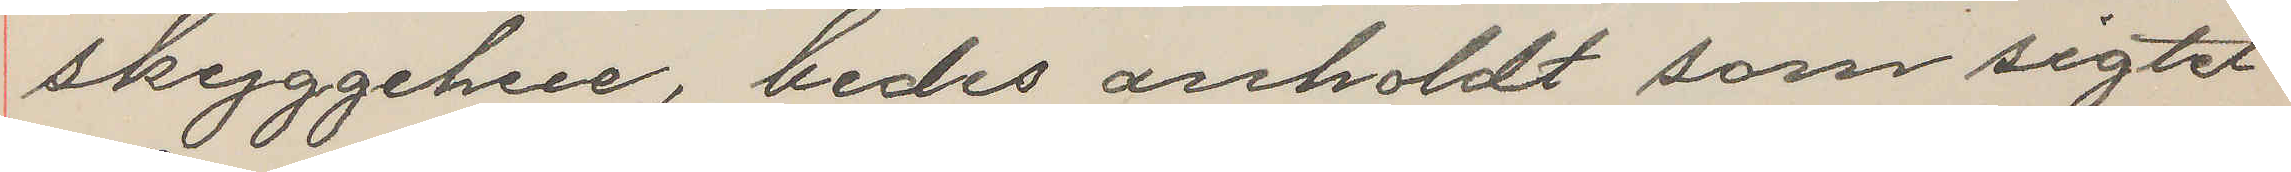skyggehue, bedes anholdt som sigtet
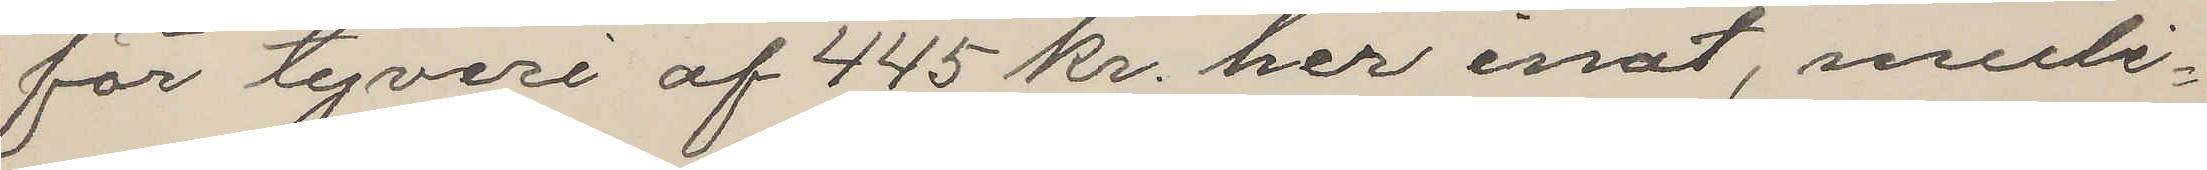för tyveri af 445 kr. her inat, muli¬
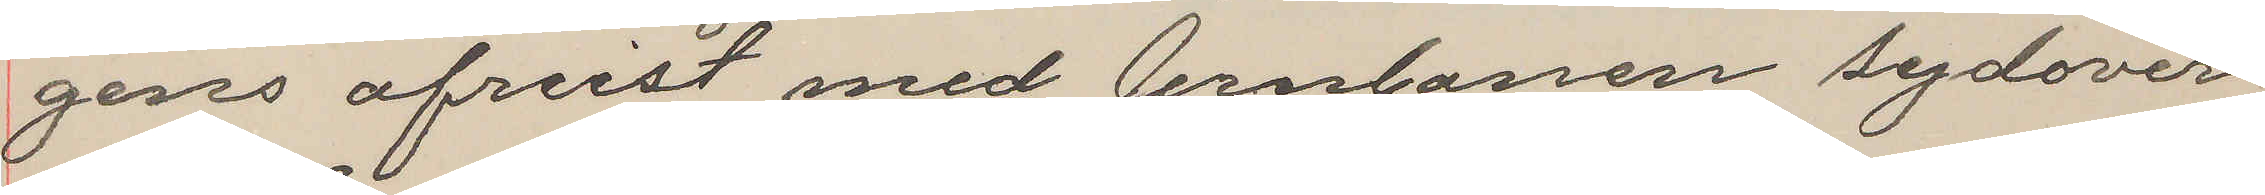gens afreist med Jernbanen sydover
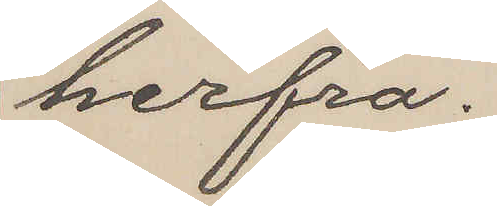herfra.
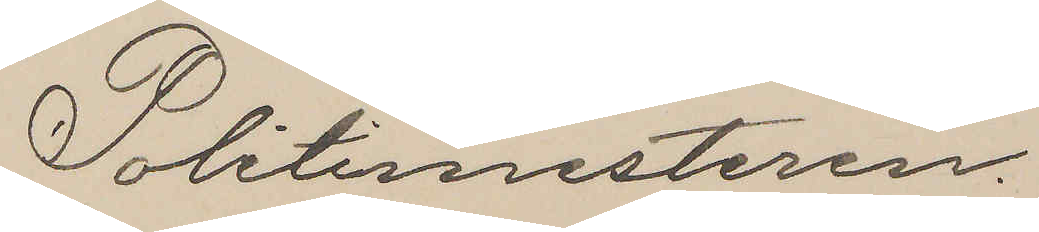Politimmesteren.
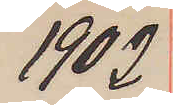1902
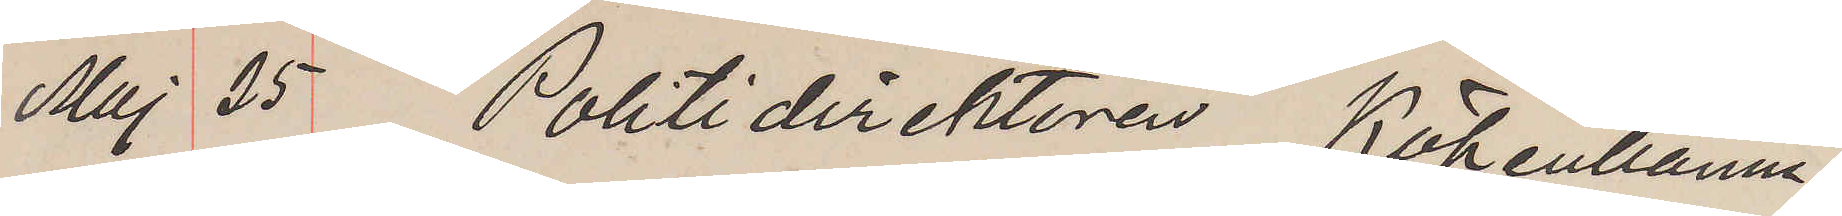Maj 25 Politidirektören Köpenhamn.
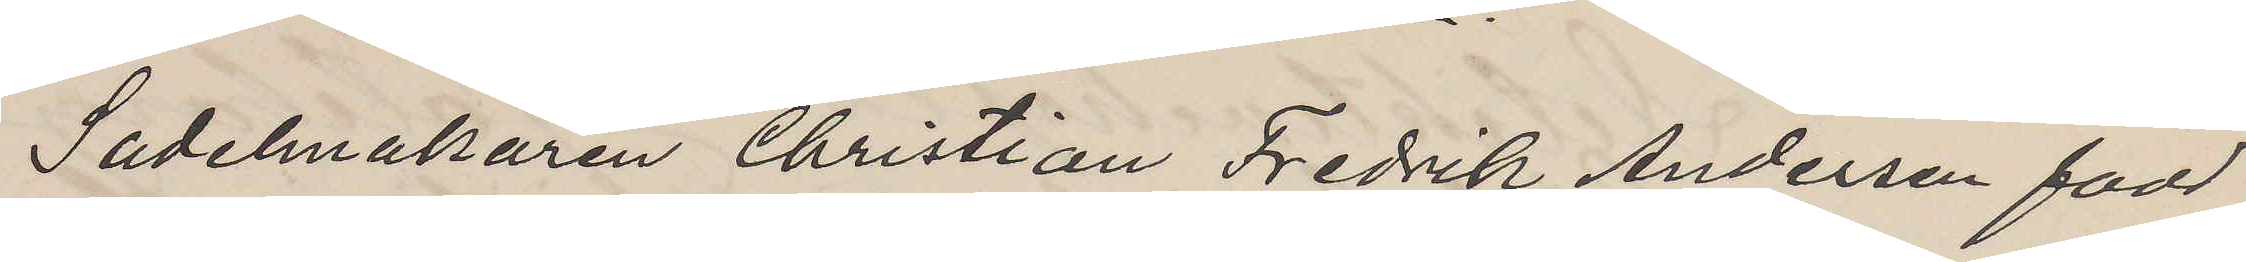Sadelmakaren Christian Fredrik Andersen född
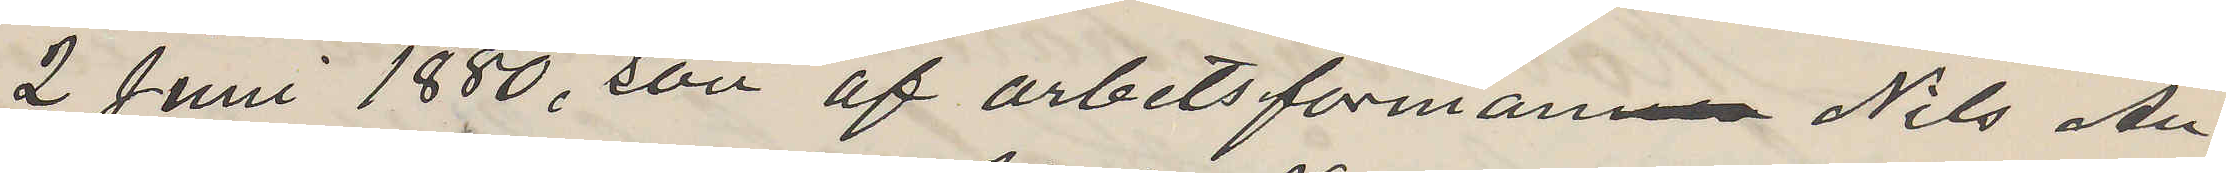2 Juni 1880, son af arbetsförman Nils An¬
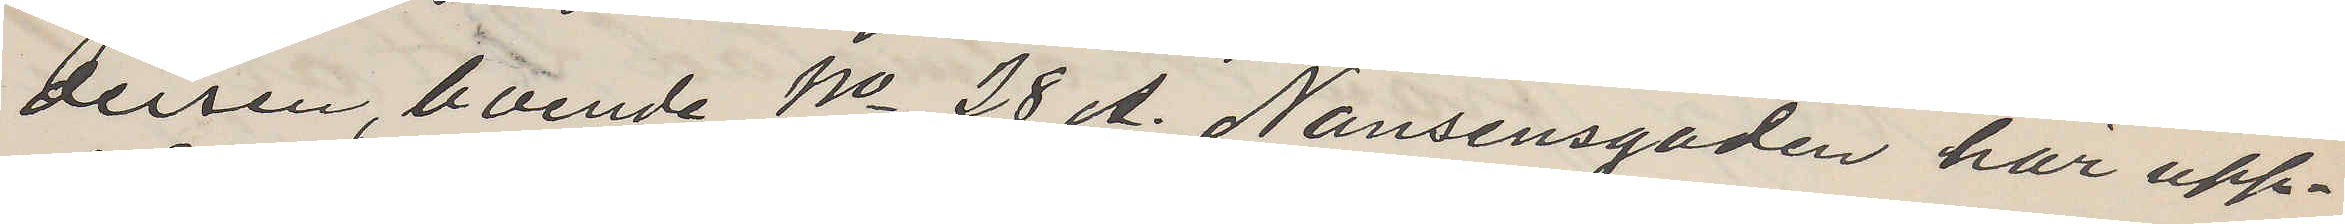dersen, boende No 28 A. Nansensgaden här upp¬
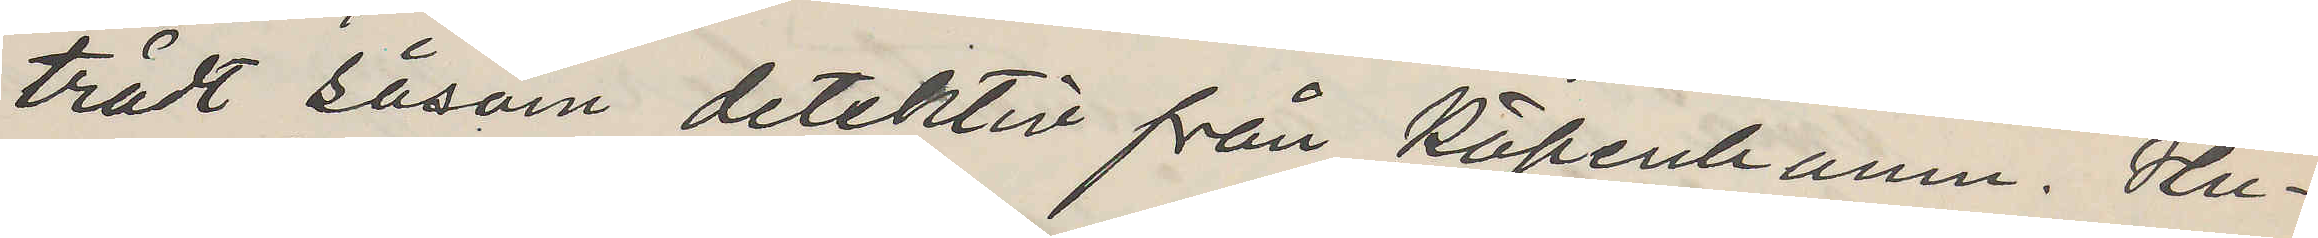trädt såsom detektiv från Köpenhamn. Hu¬
